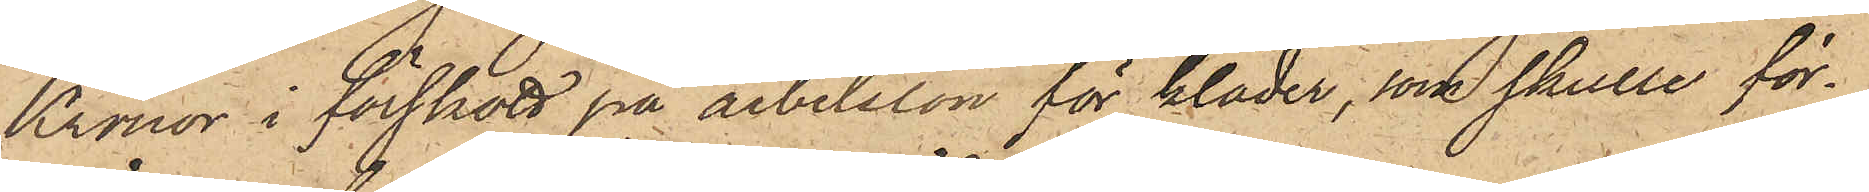Kronor i förskott på arbetslön för kläder, som skulle för¬
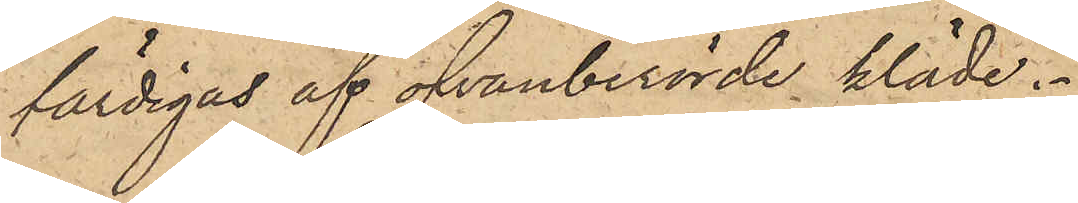färdigas af ofvanberörde kläde.
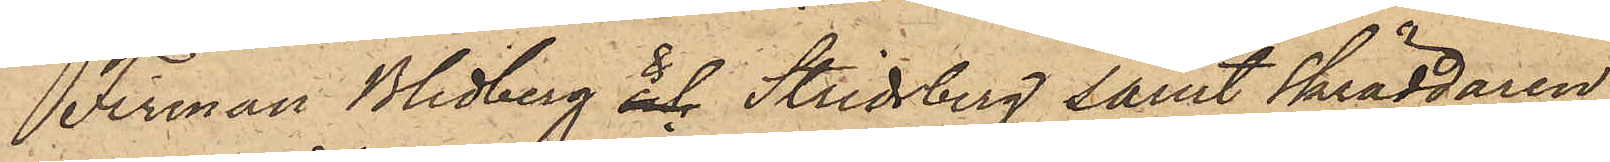Firman Blidberg & Stridsberg samt skräddaren
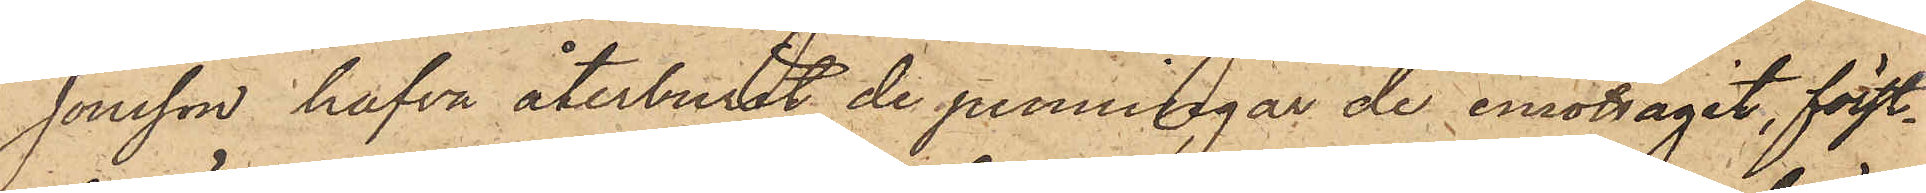Jonsson hafva återburit de penningar de emottagit, först¬
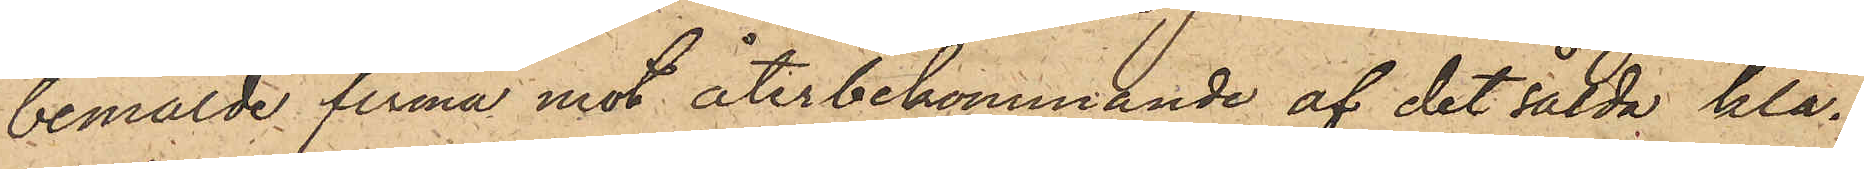bemälde firma mot återbekommande af det sålda klä¬
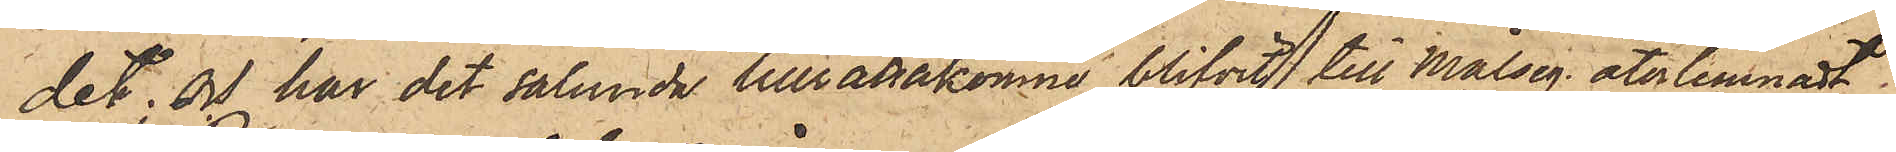det; och har det sålunda tillrättakomne blifvit till Målseg återlemnadt.
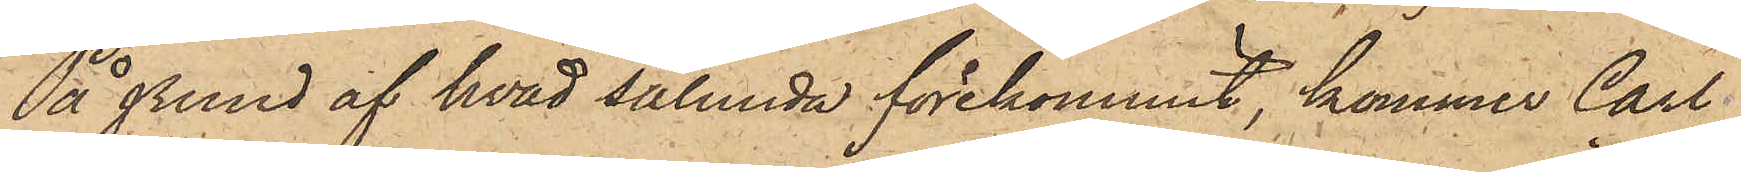På grund af hvad sålunda förekommit, kommer Carl
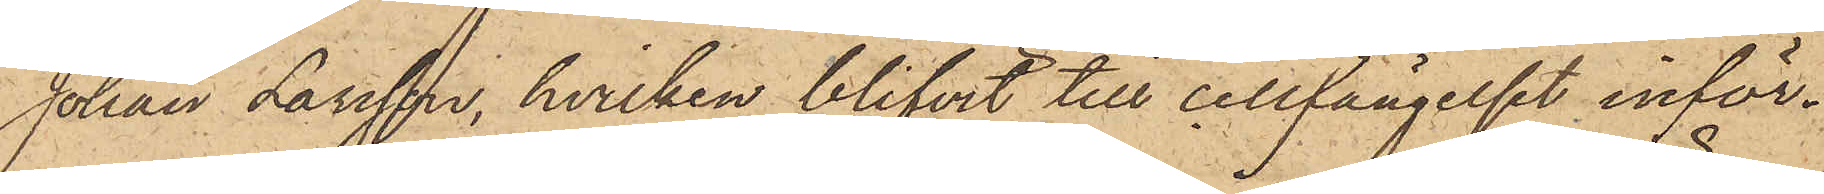Johan Larsson, hvilken blifvit till cellfängelset inför¬
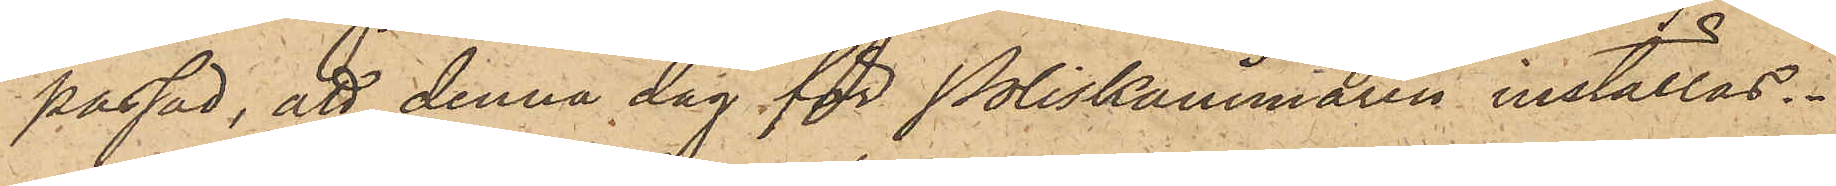passad, att denna dag för Poliskammaren inställas.
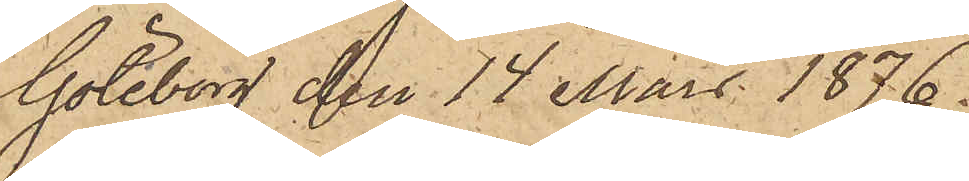Göteborg den 14 Mars 1876.
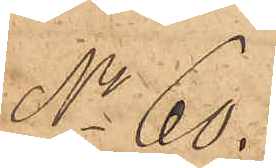No 66.
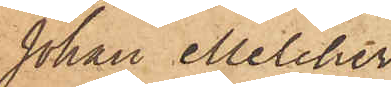Johan Melcher
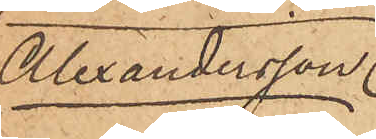Alexandersson.
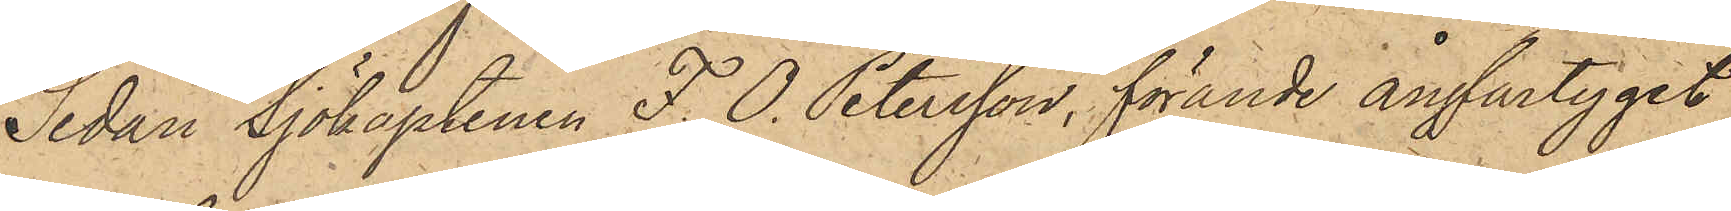Sedan Sjökaptenen F. O. Petersson, förande ångfartyget
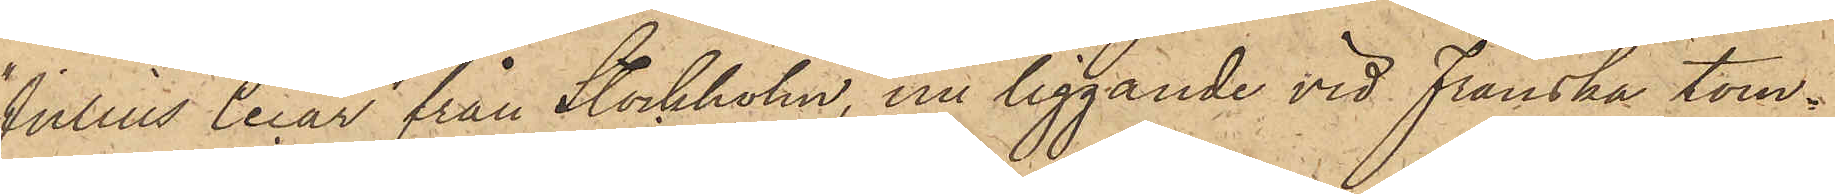"Julius Cecar" från Stockholm, nu liggande vid Franska tom¬
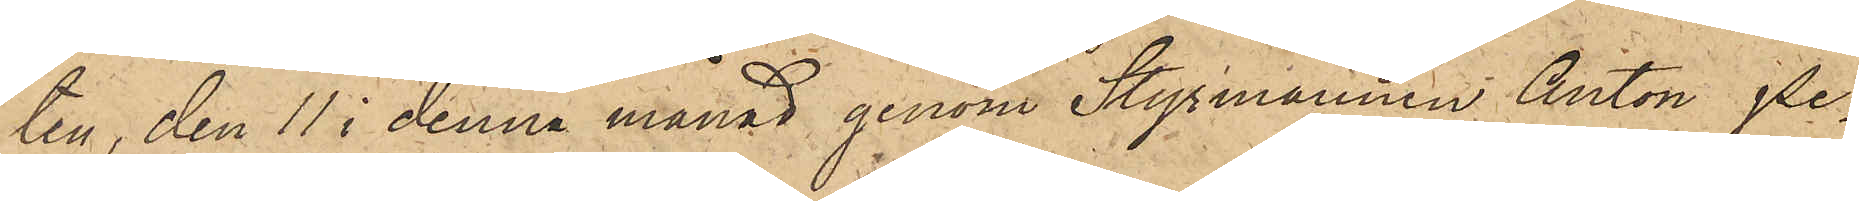ten, den 11 i denna månad genom Styrmannen Anton Pe¬
